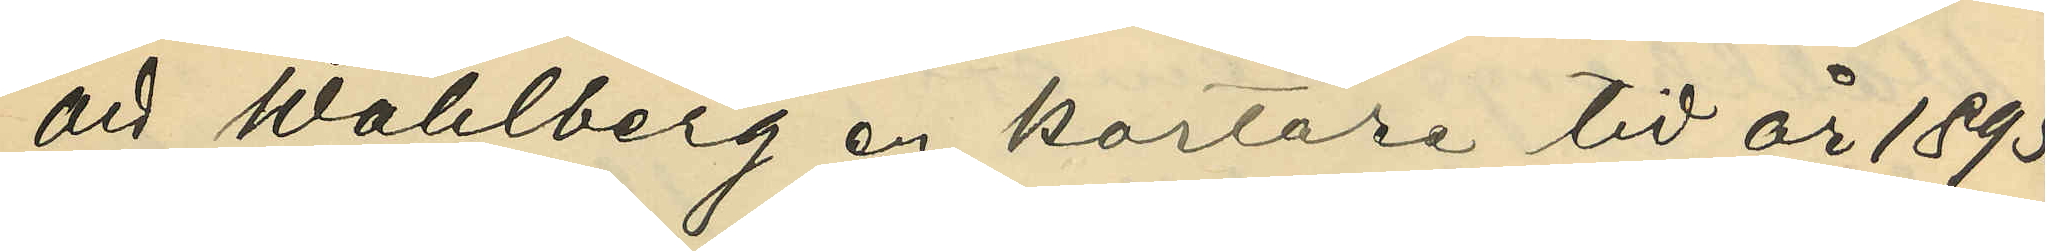att Wahlberg en kortare tid år 1895.
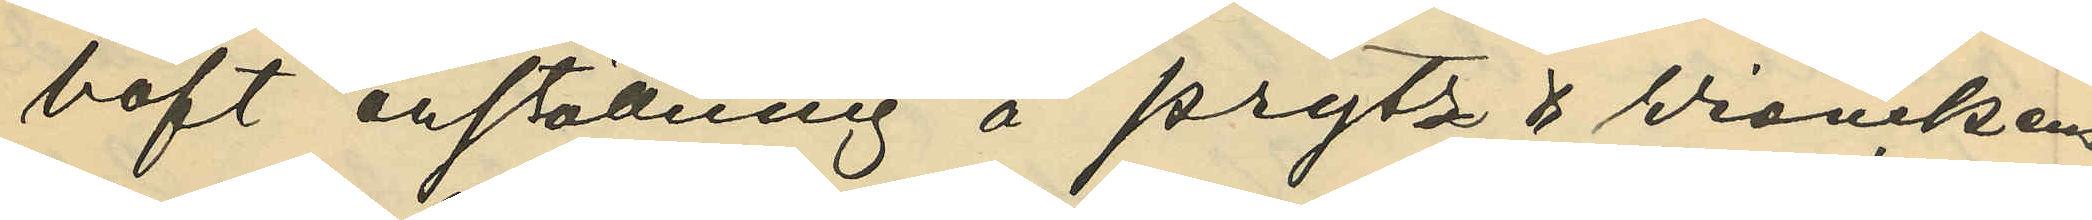haft anställning å Prytz & Wienckens
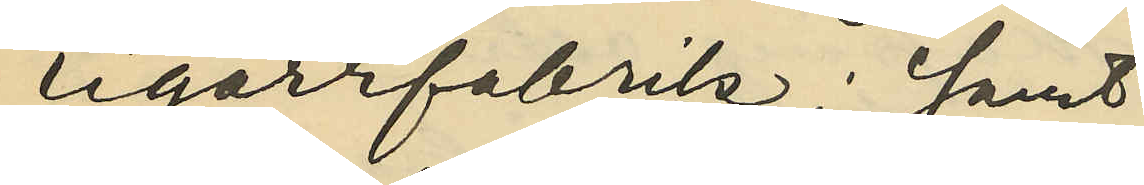cigarrfabrik; samt
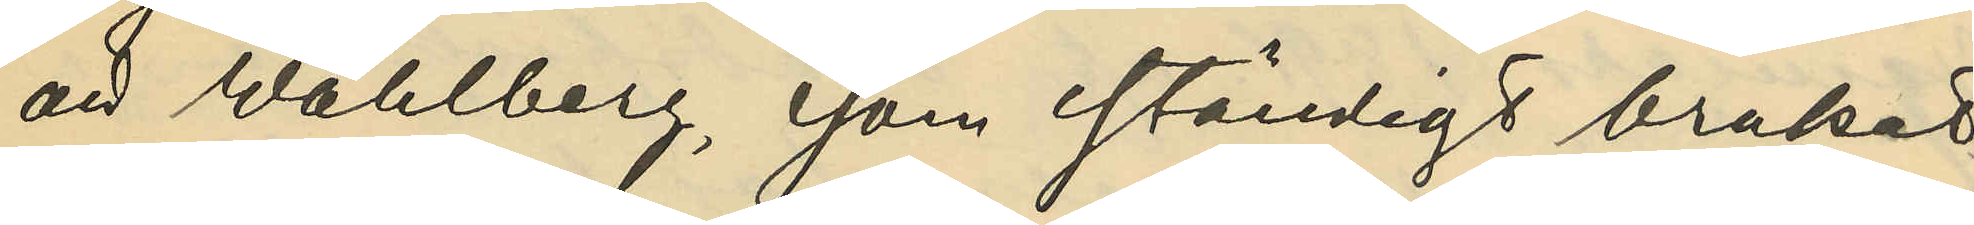att Wahlberg, som ständigt brukat
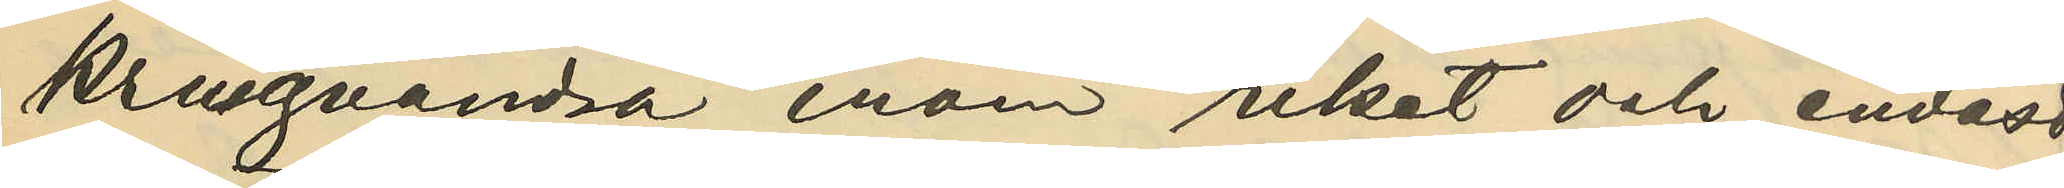kringvandra inom riket och endast
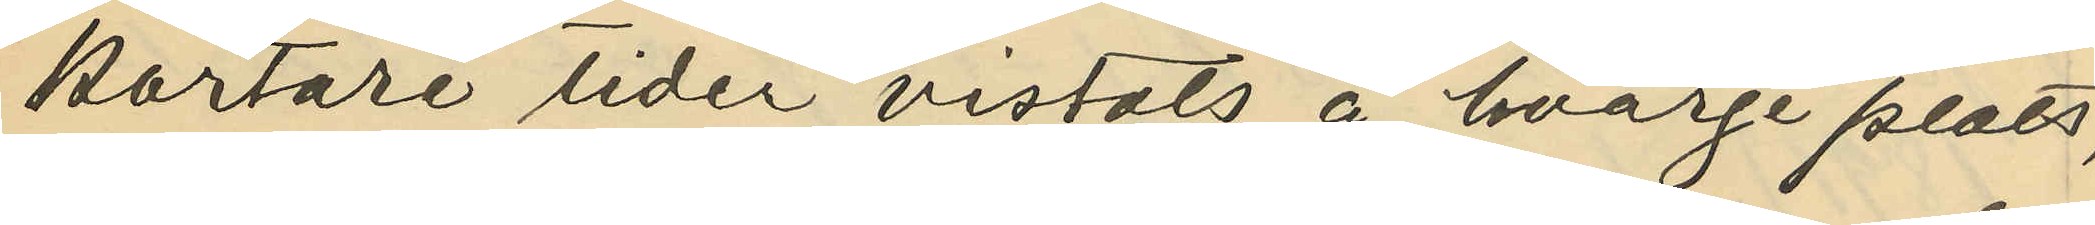kortare tider vistats å hvarje plats,
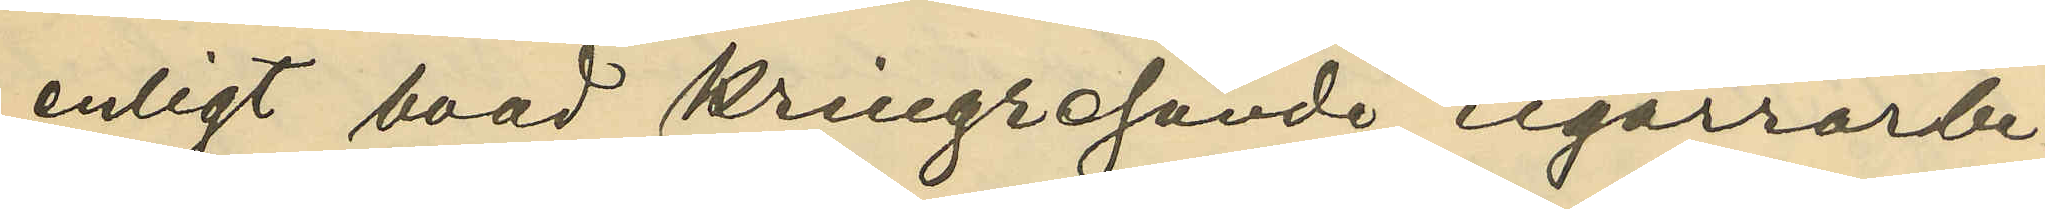enligt hvad kringresande cigarrarbe¬
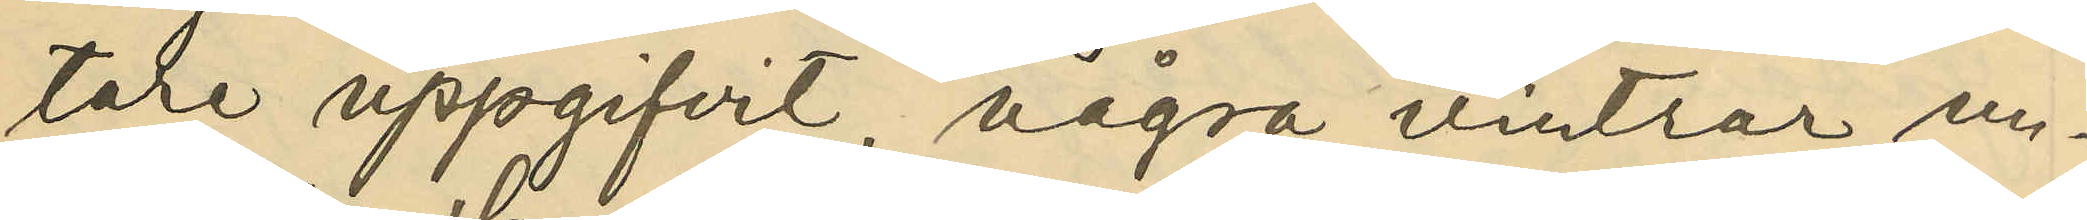tare uppgifvit, några vintrar un¬
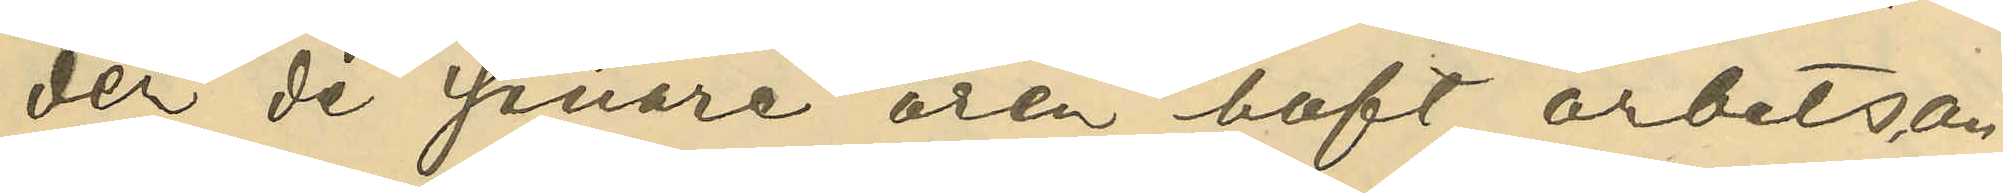der de senare åren haft arbetsan¬
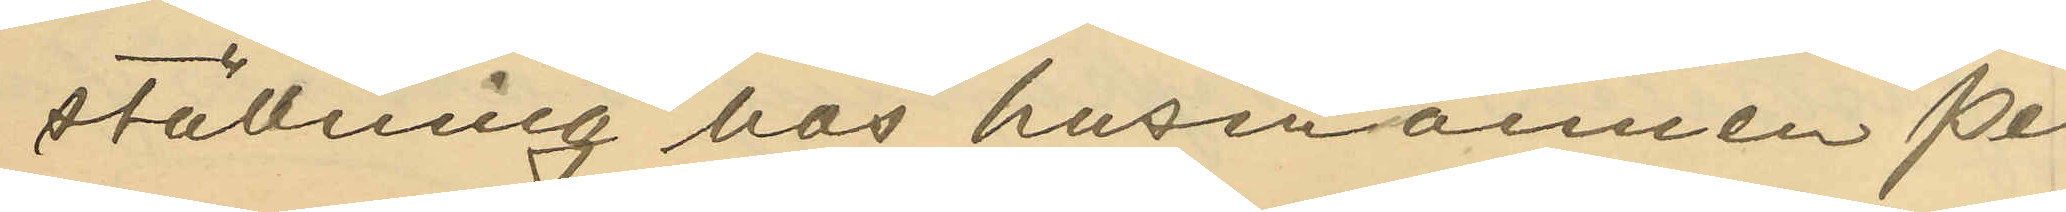ställning hos husmannen Per
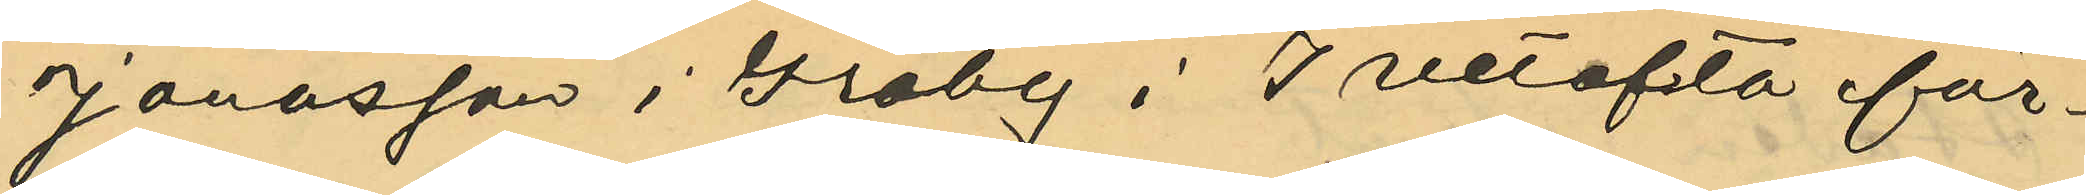Jonasson i Gräby i Ivetofta för¬
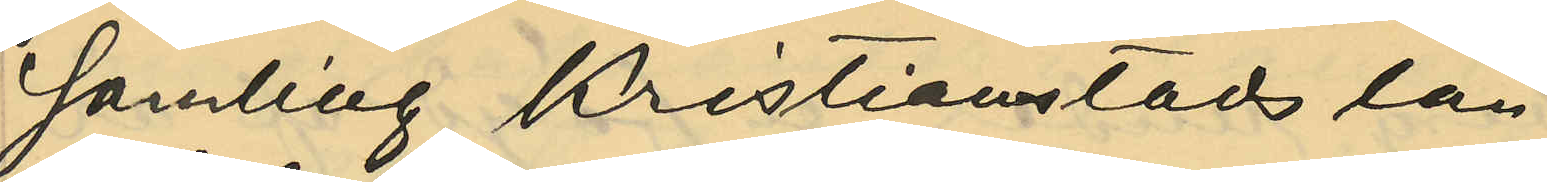samling af Kristianstads län.
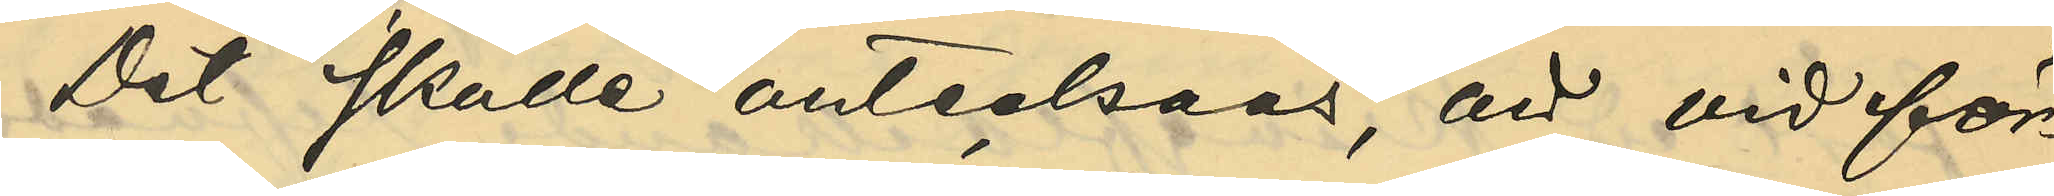Det skulle antecknas, att vid för¬
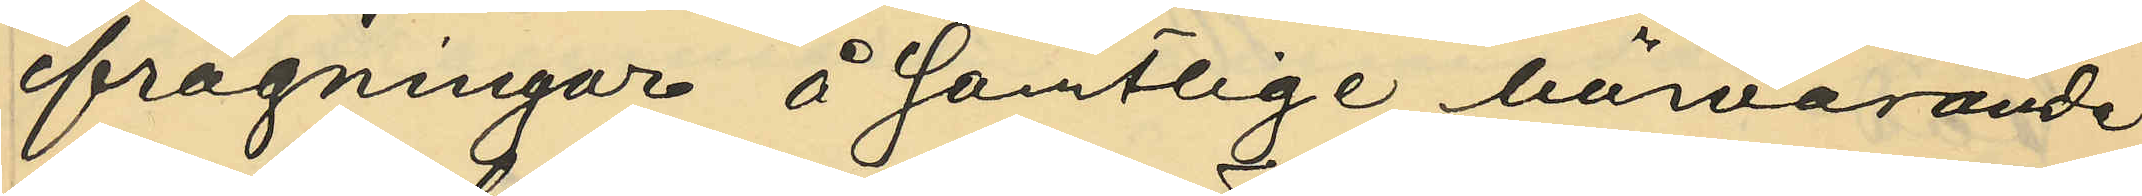frågningar å samtlige härvarande
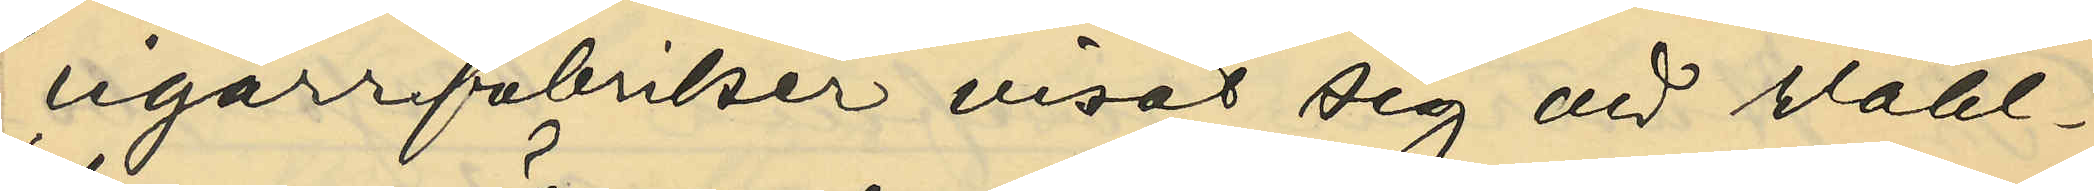cigarrfabriker visat sig att Wahl¬
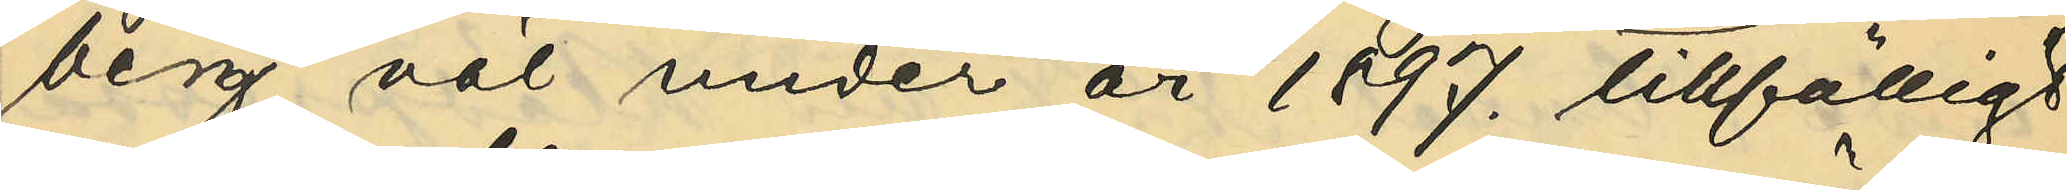berg väl under år 1897. tillfälligt
